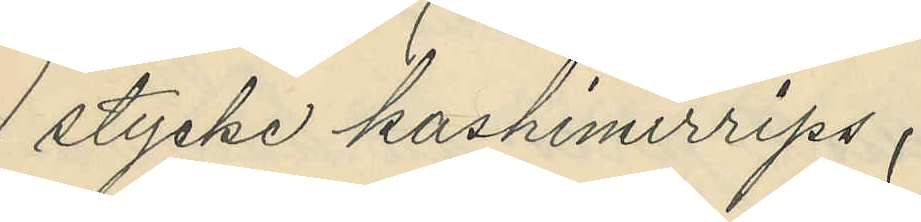1 stycke kashimirrrips,
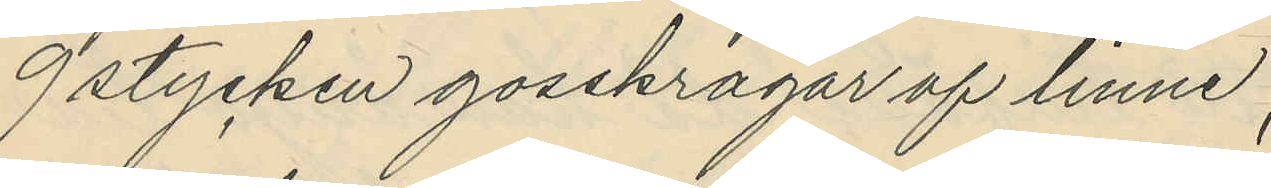9 stycken gosskragar af linne,
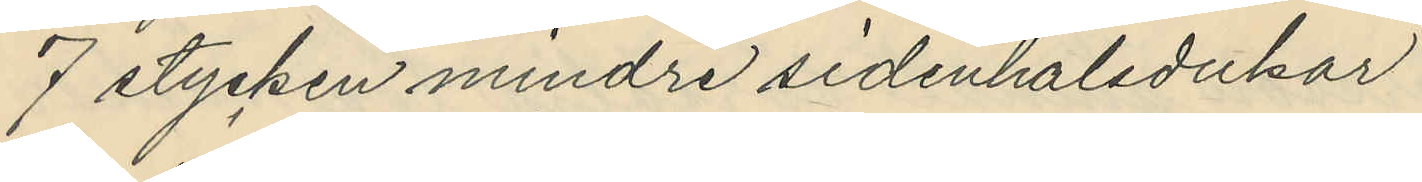7 stycken mindre sidenhalsdukar,
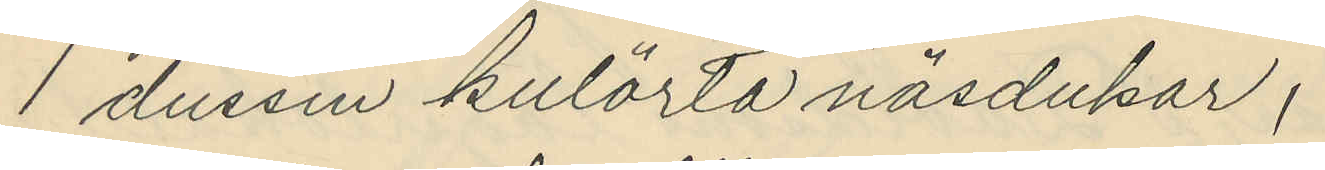1 dussin kulörta näsdukar,
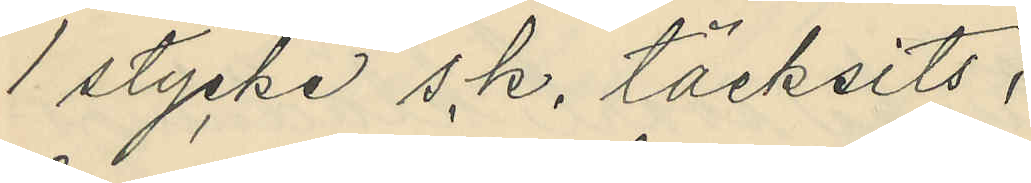1 stycke s.k. täcksits,
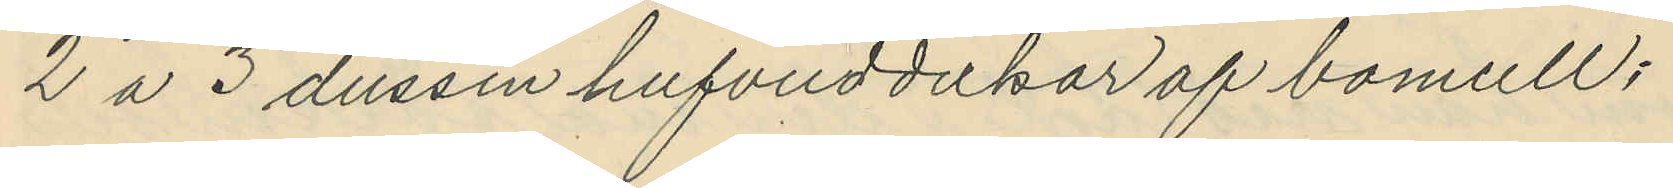2 a 3 dussin hufvuddukar af bomull,
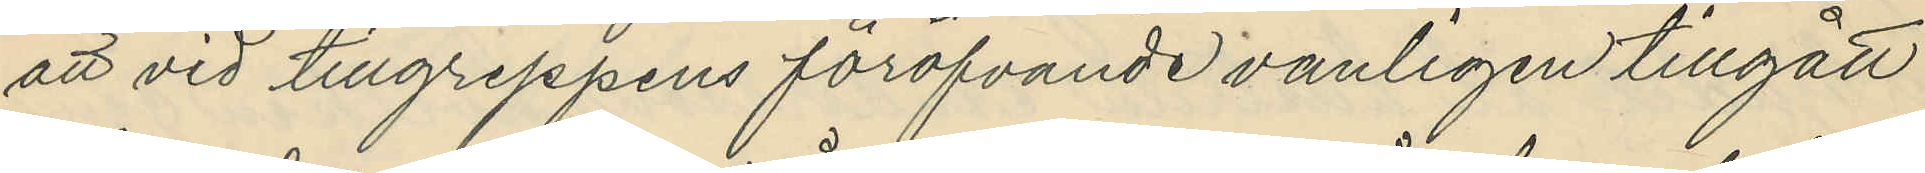att vid tillgreppens föröfvande vanligen tillgått
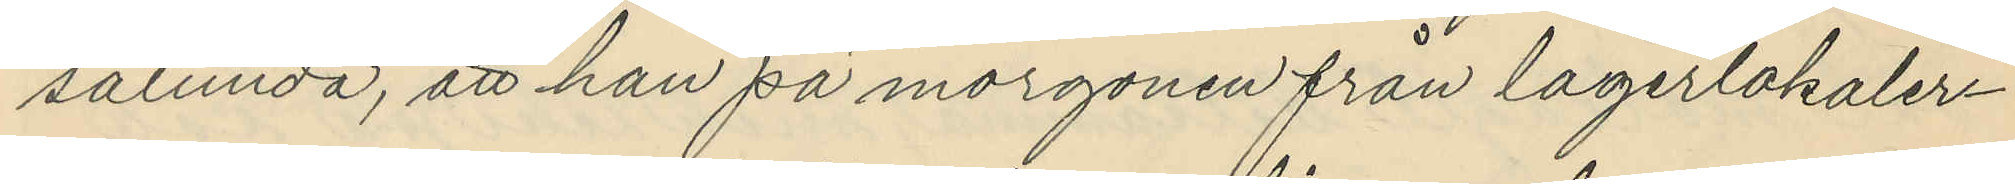sålunda, att han på morgonen från lagerlokaler¬
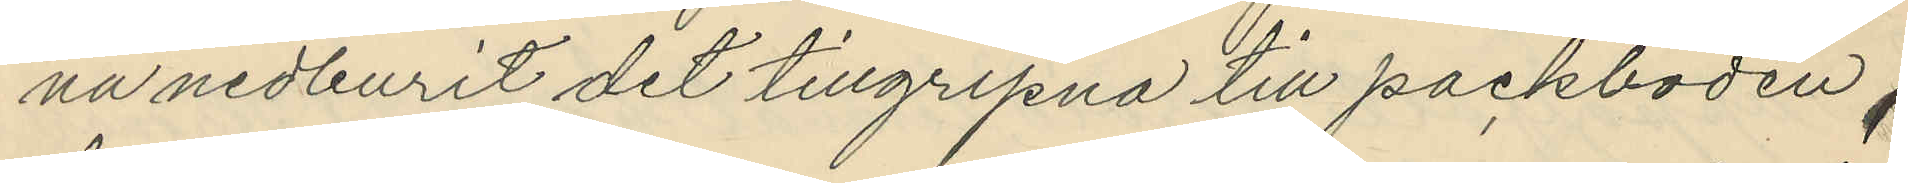na nedburit det tillgripna till packboden,
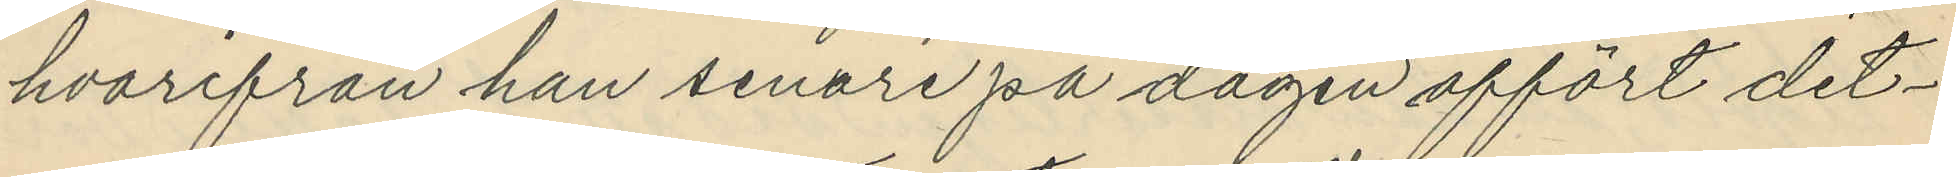hvarifrån han senare på dagen affört det¬
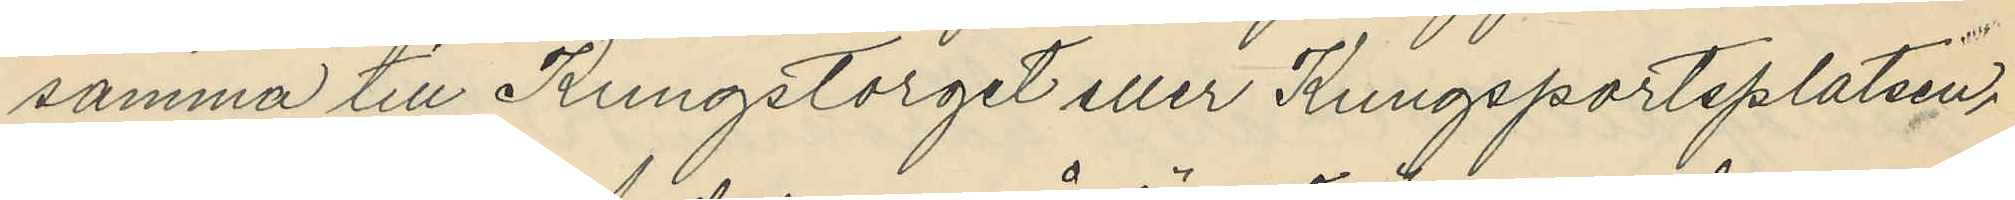samma till Kungstorget eller Kungsportsplatsen,
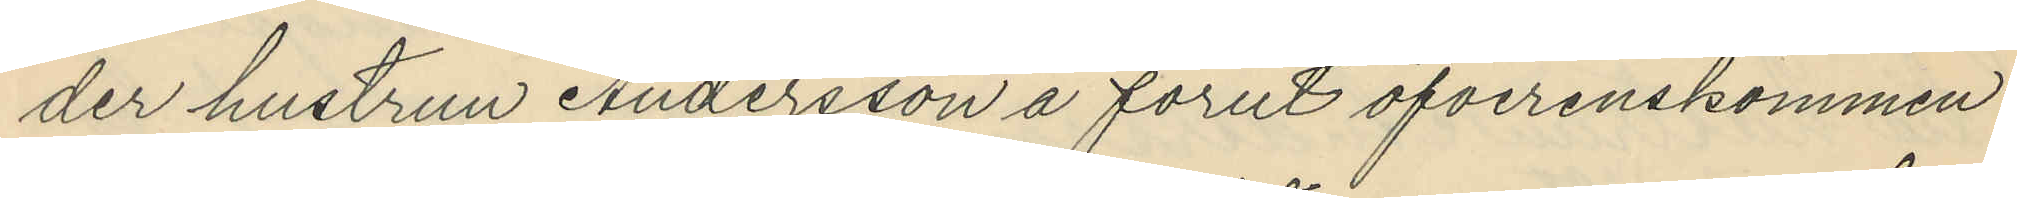der hustrun Andersson å förut öfverenskommen
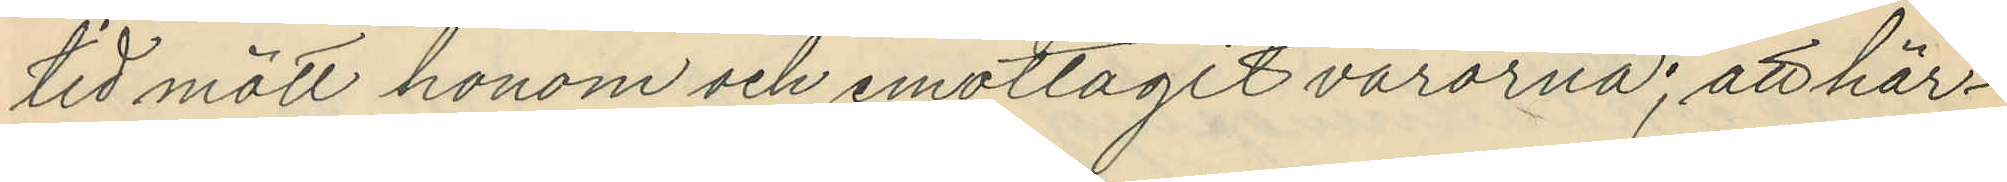tid mött honom och emottagit varorna; att här¬
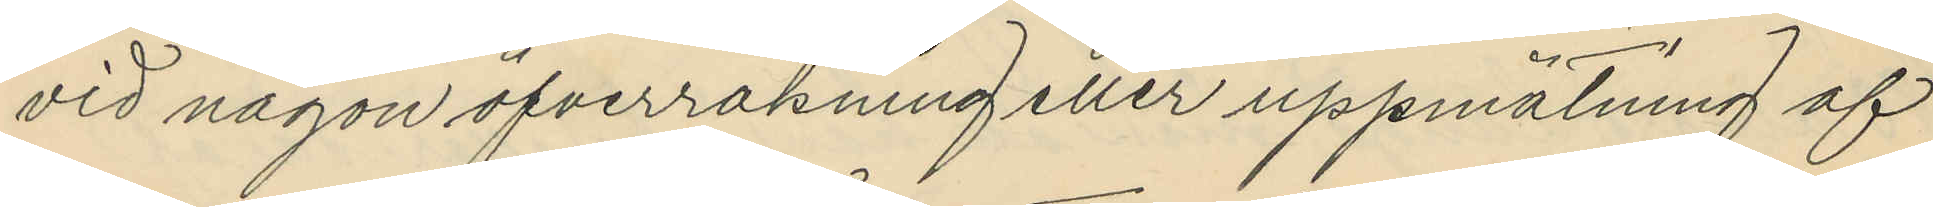vid någon öfverräkning eller uppmätning af
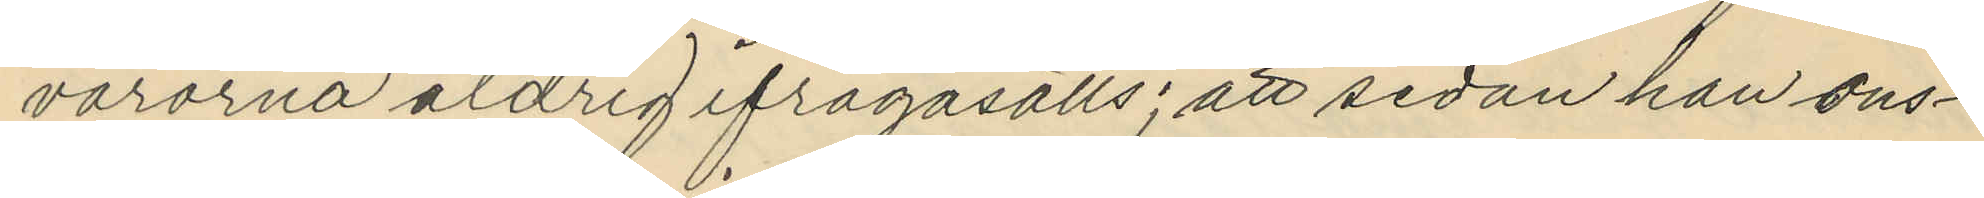varorna aldrig ifrågasatts; att sedan han ons¬
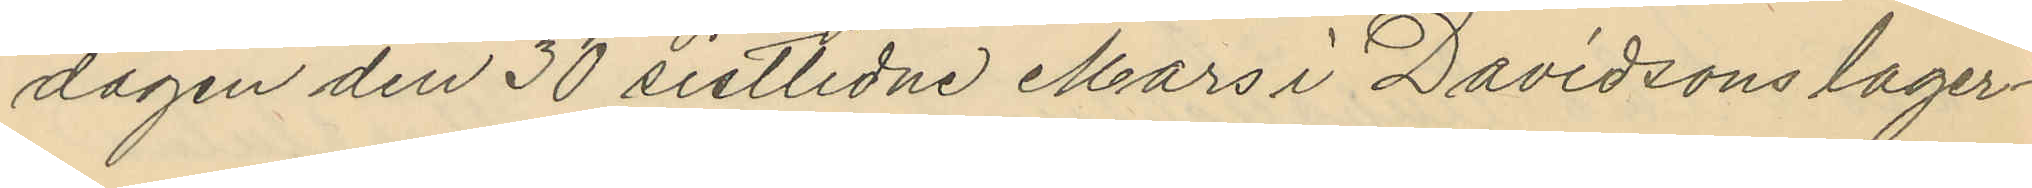dagen den 30 sistlidne Mars i Davidsons lager¬
